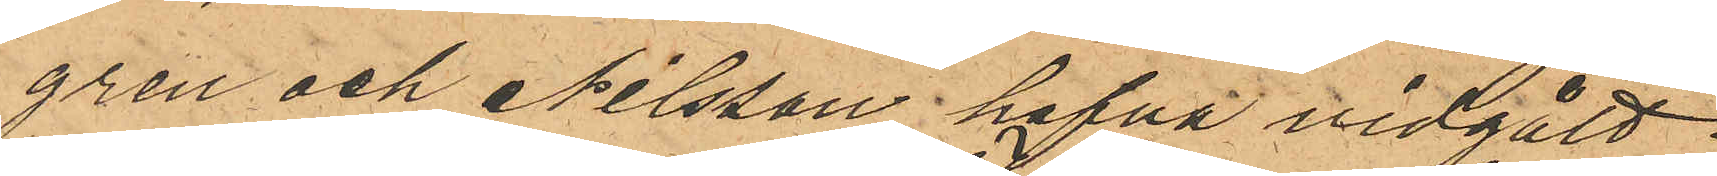gren och Nilsson hafva vidgått
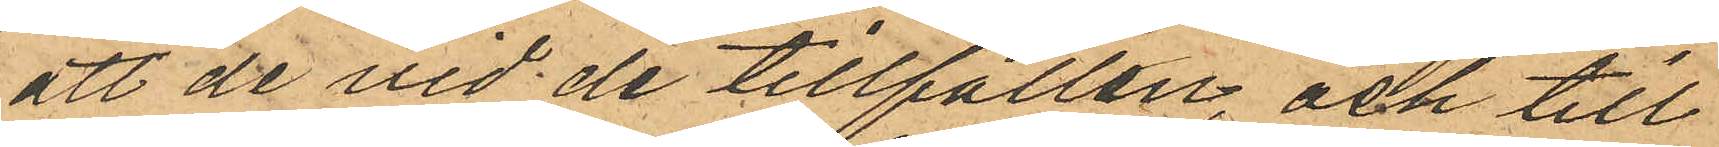att de vid de tillfällen och till
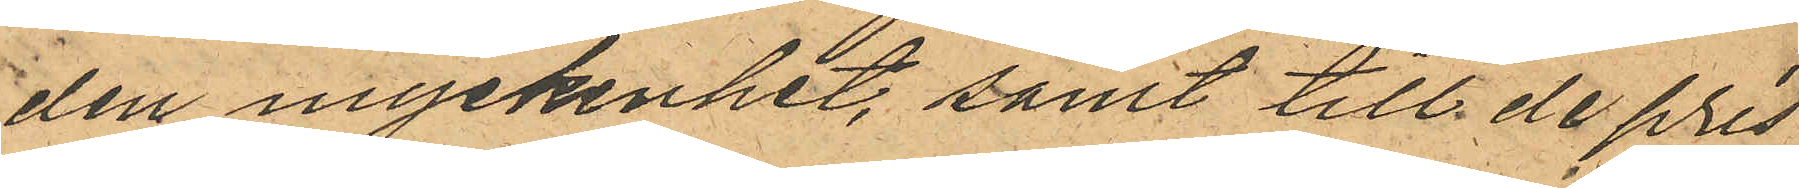den myckenhet, samt till de pris
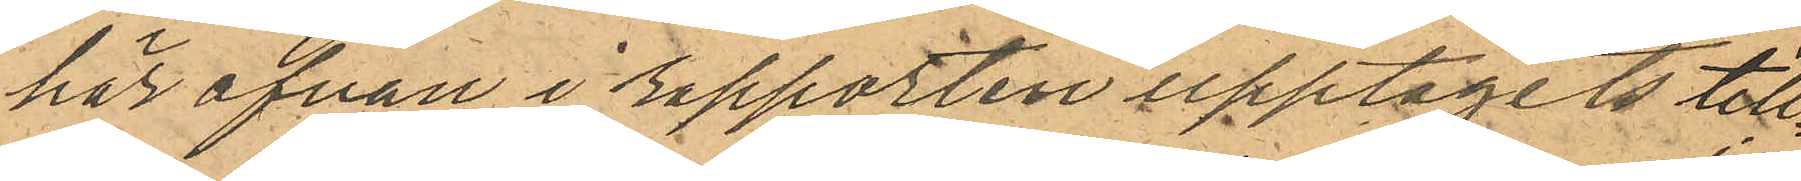här ofvan i rapporten upptagits till¬
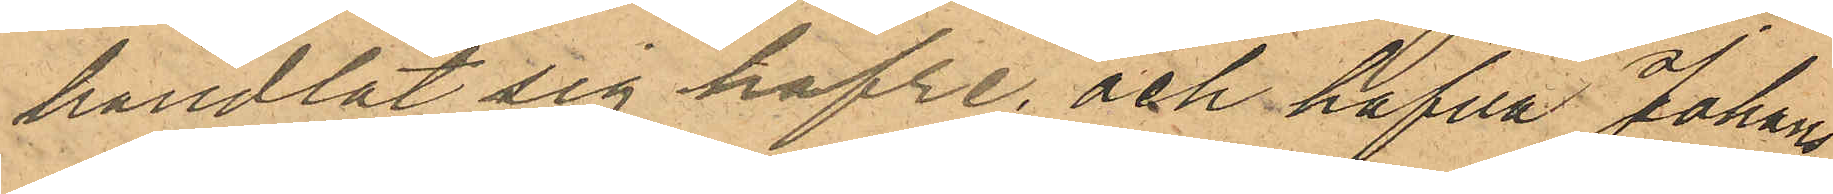handlat sig hafre, och hafva Johans¬
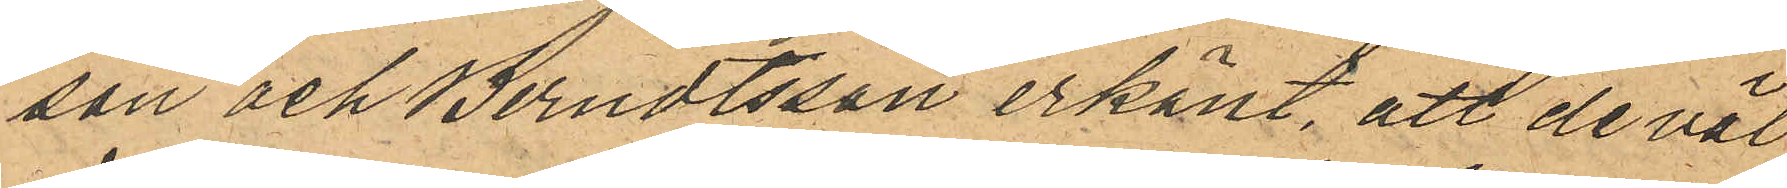son och Berndtsson erkänt, att de väl
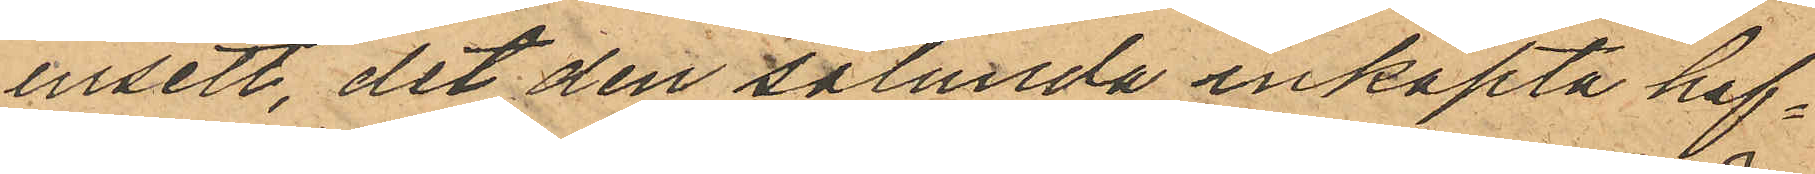insett, det den sålunda inköpta haf¬
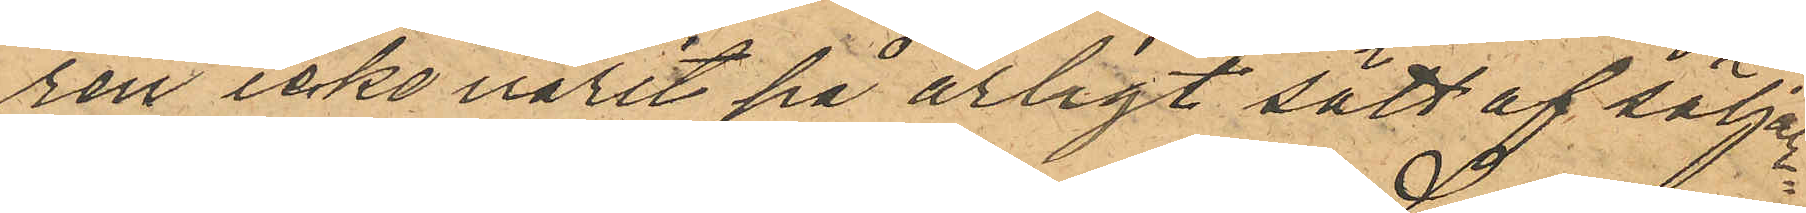ren icke varit på ärligt sätt af säljar¬
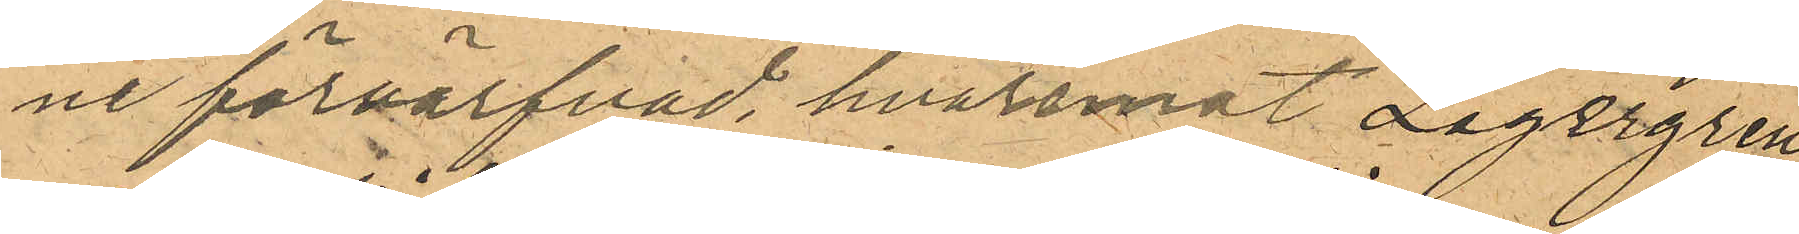ne förvärfvad, hvaremot Lagergren
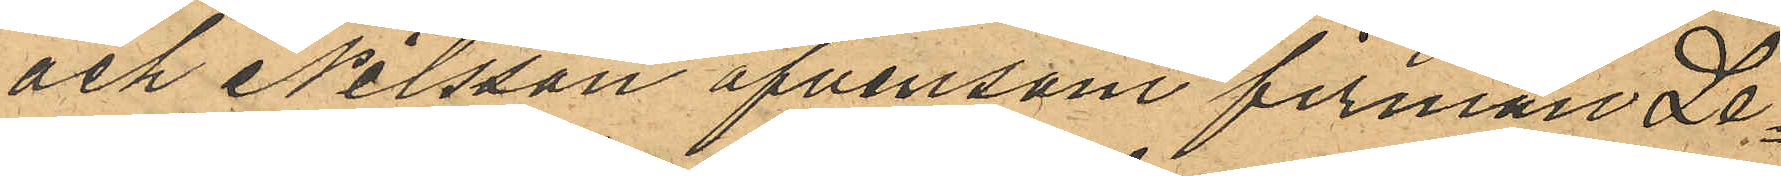och Nilsson äfvensom firman Le¬
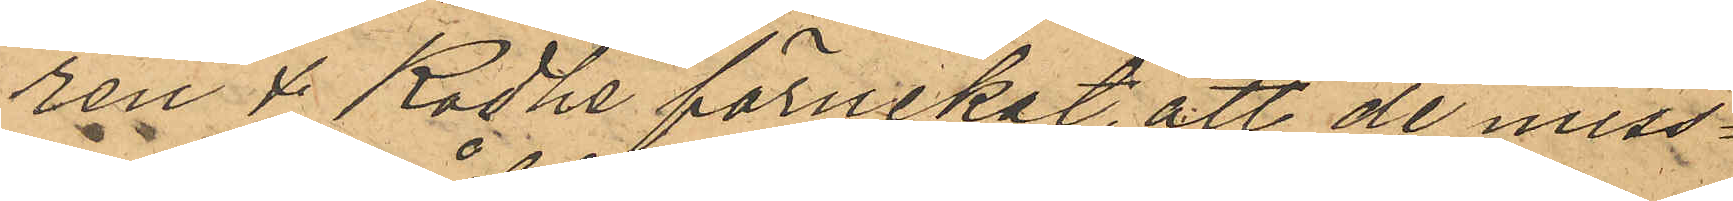ren & Rodhe förnekat, att de miss¬
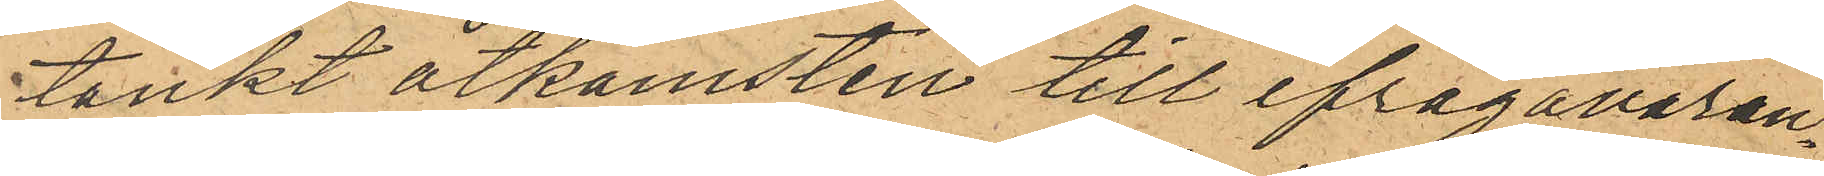tänkt åtkomsten till ifrågavaran¬
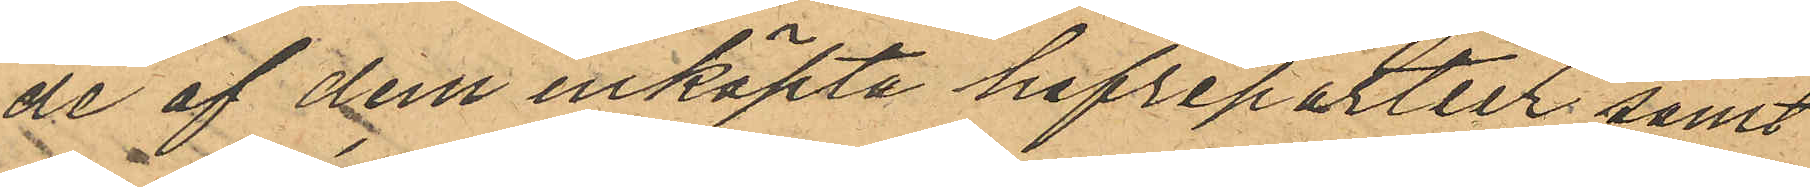de af dem inköpta hafrepartier; samt
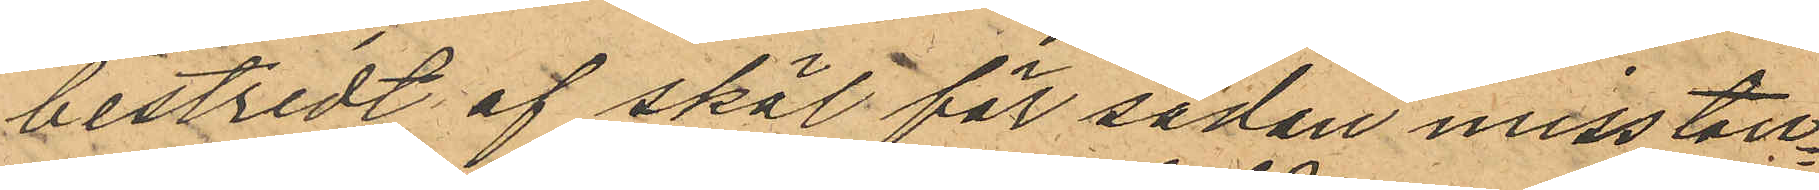bestridt af skäl för sådan misstän¬
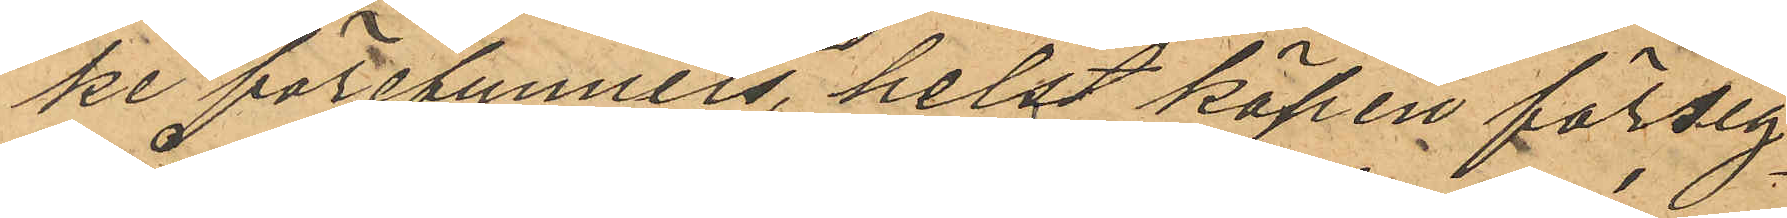ke förefunnits, helst köpen försig¬
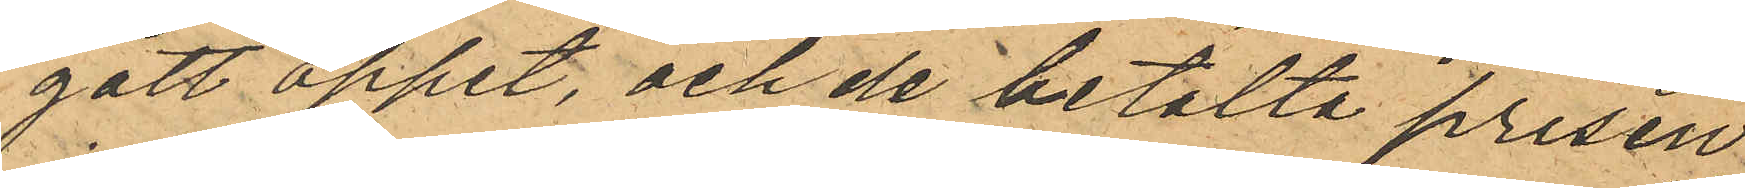gått öppet, och de betalta prisen
